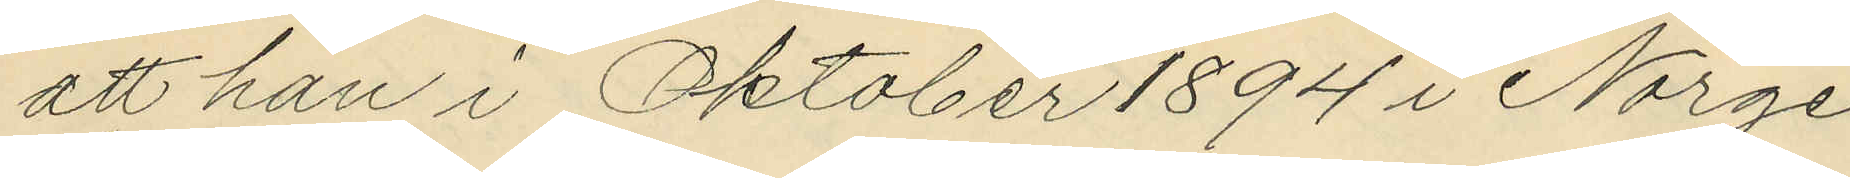att han i Oktober 1894 i Norge
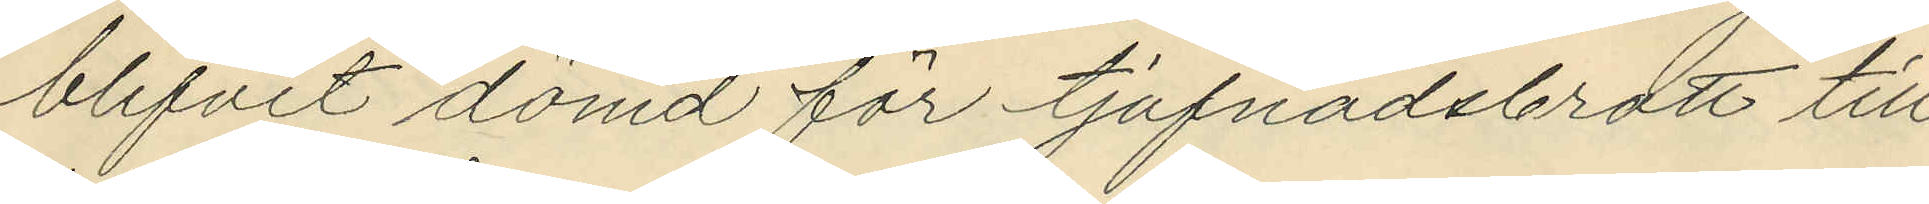blifvit dömd för tjufnadsbrott till
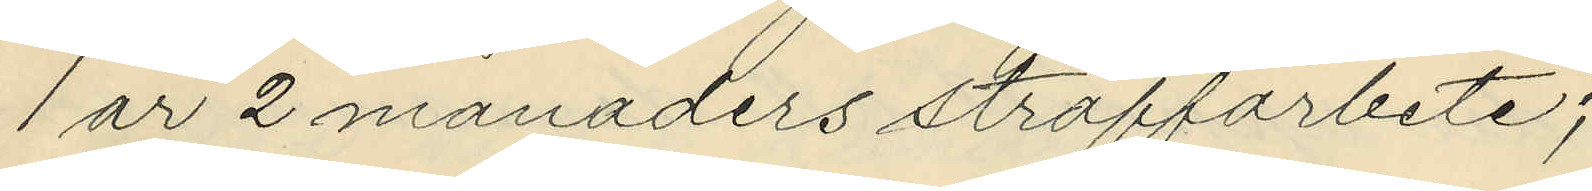1 år 2 månaders straffarbete;
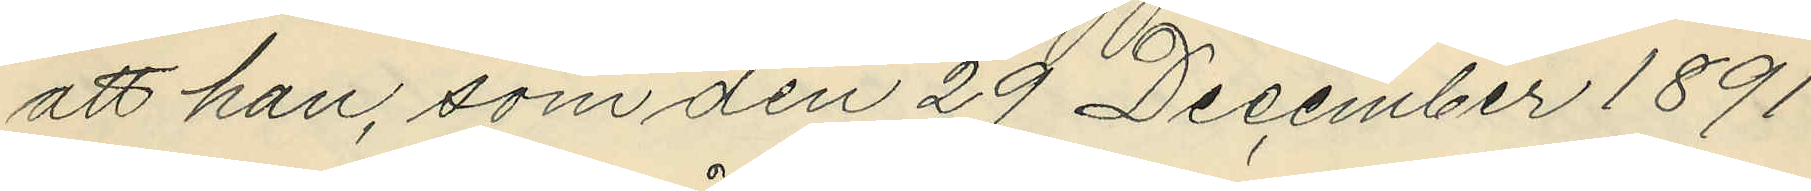att han, som den 29 December 1891
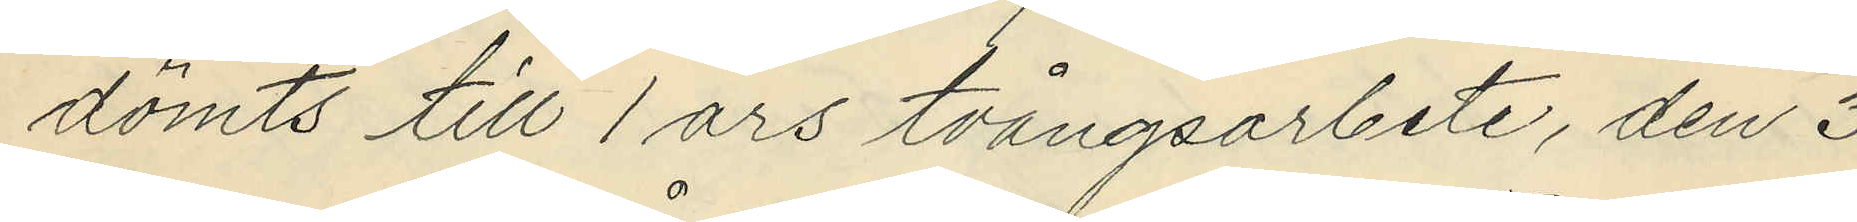dömts till 1 års tvångsarbete, den 3
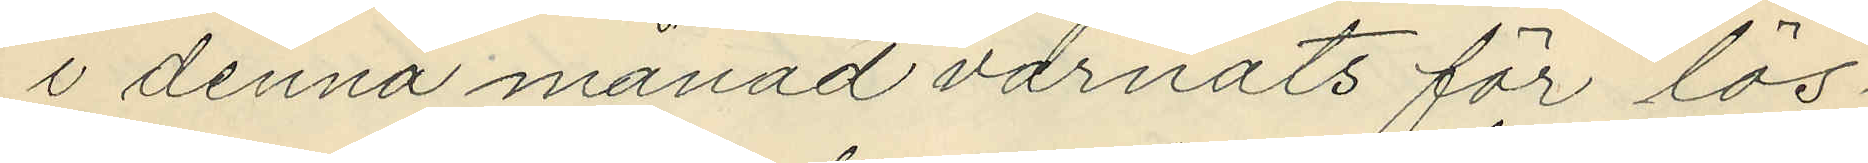i denna månad varnats för lös¬
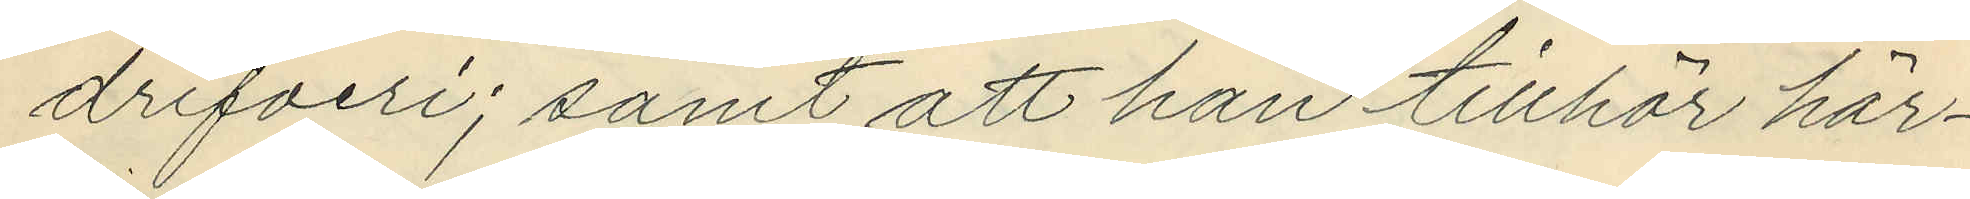drifveri; samt att han tillhör här¬
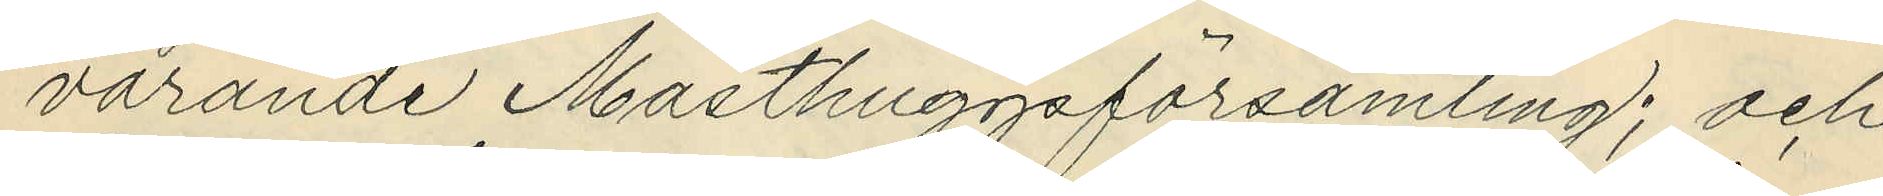varande Masthuggsförsamling; och
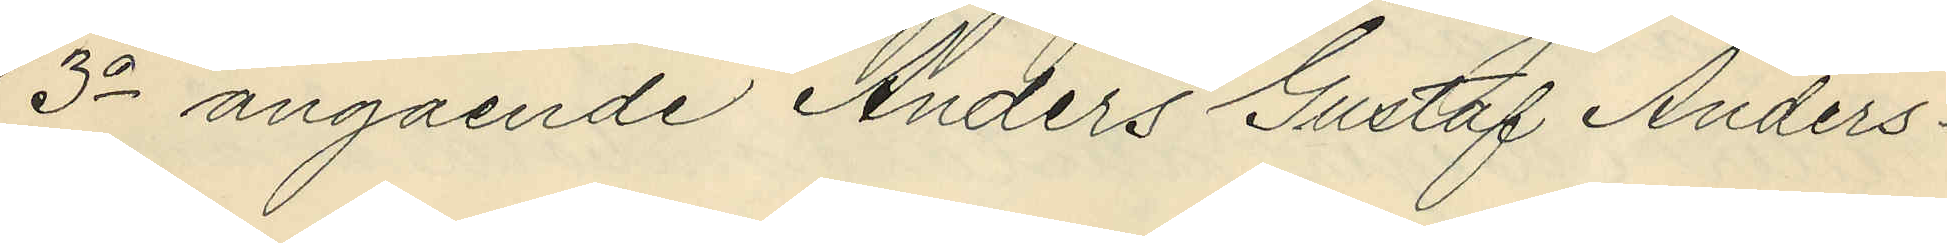3o angående Anders Gustaf Anders¬
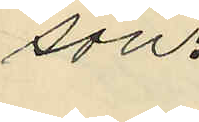son:
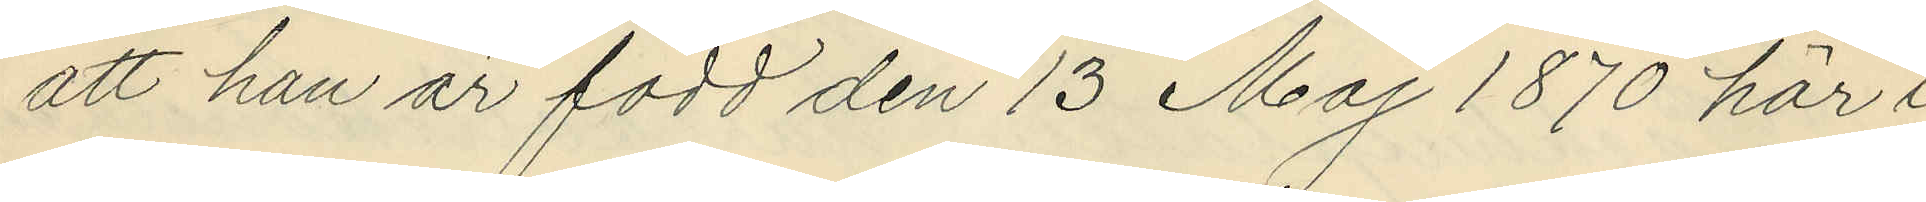att han är född den 13 Maj 1870 här i
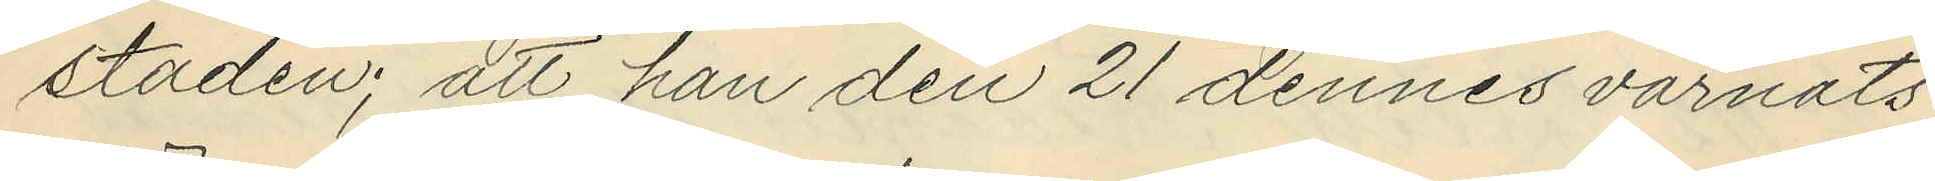staden; att han den 21 dennes varnats
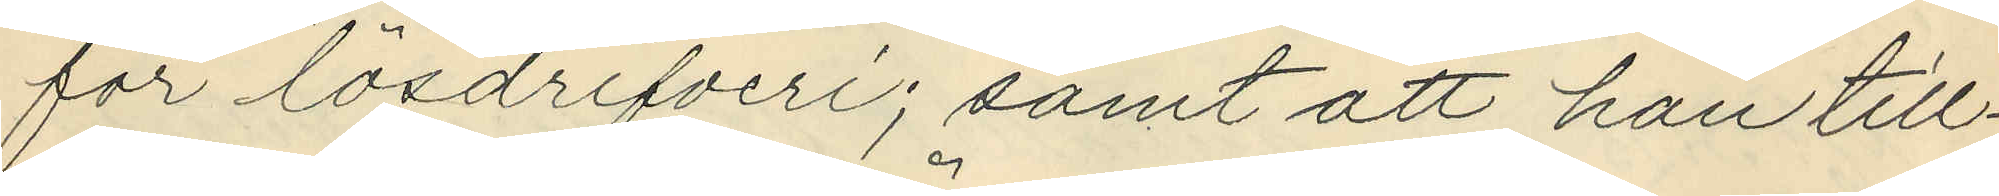för lösdrifveri; samt att han till¬
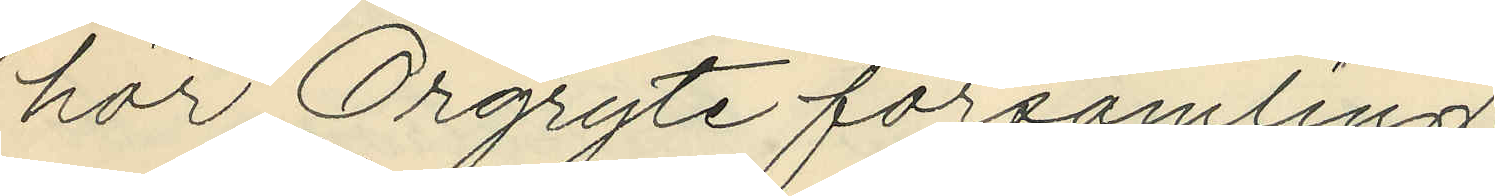hör Örgryte församling.
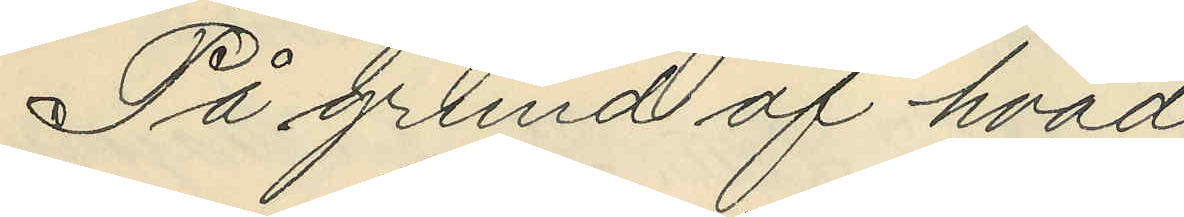På grund af hvad
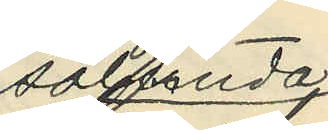sålunda
